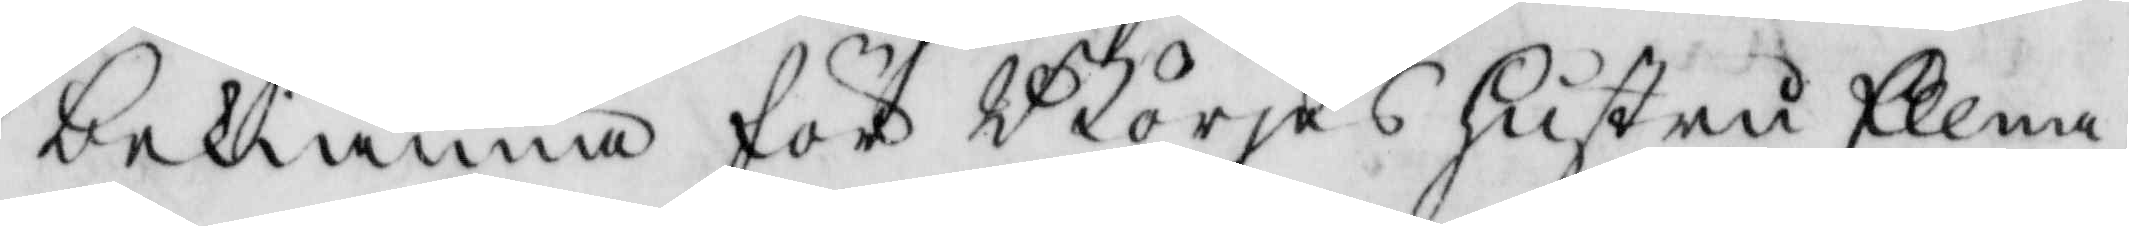bekiänna för Börjes hustru Ellna
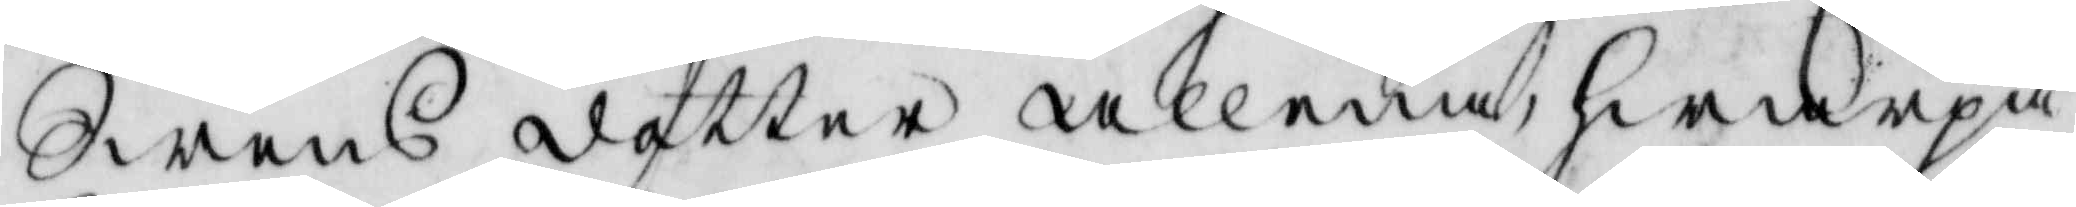Swensdotter allena, hwarpå
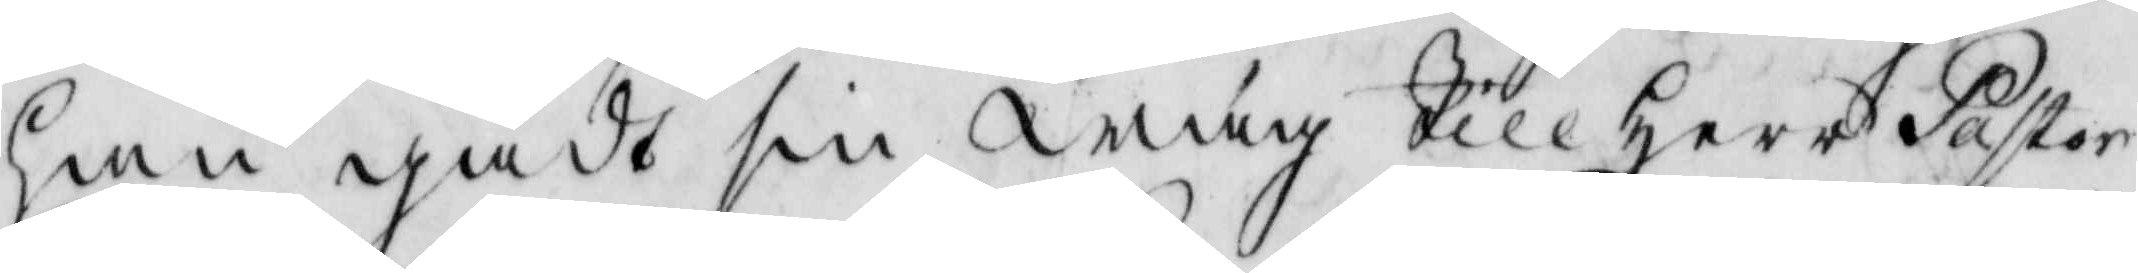han gåft sin wäg till Herr Pastor
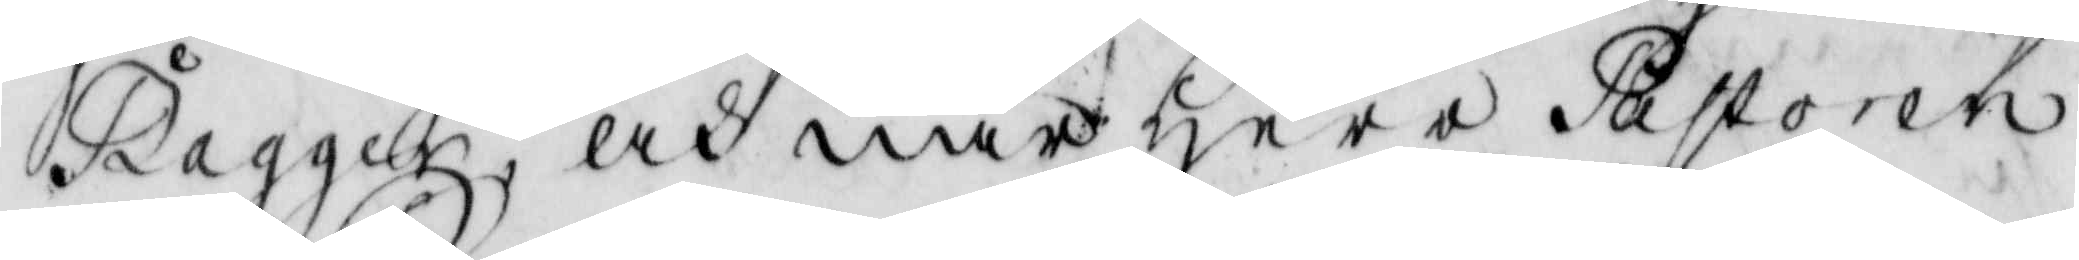Bagger, och när Herr Pastoren
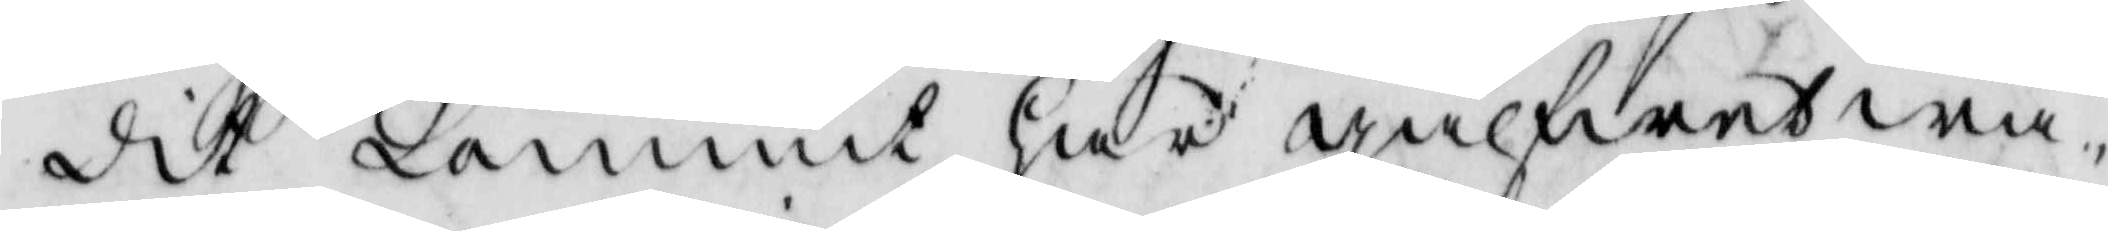dit kommit har gålfwet wa¬
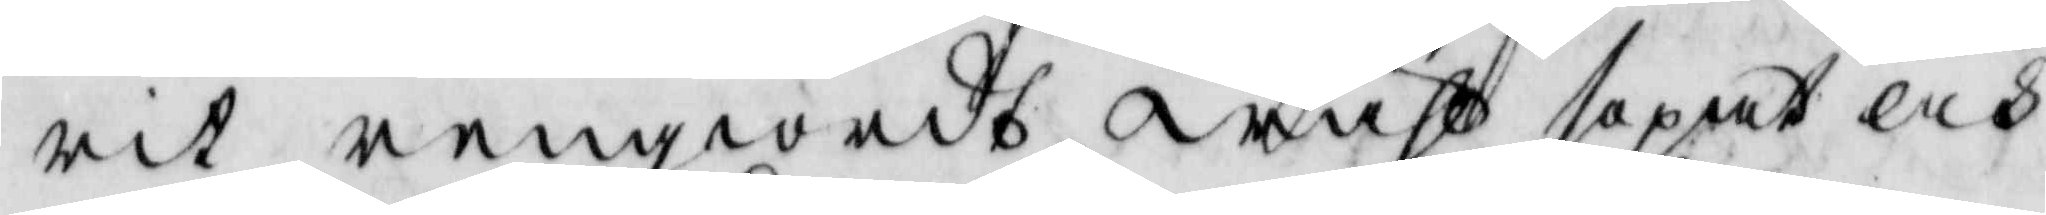rit rengiordt wähl sopat och
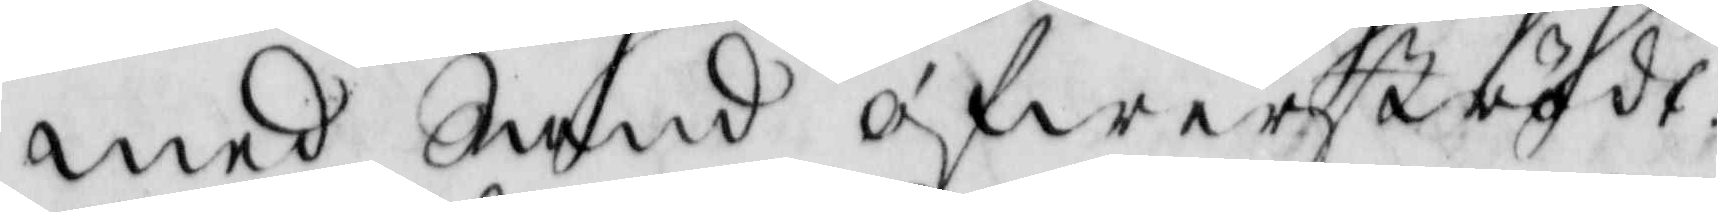med Sand öfwerströdt.
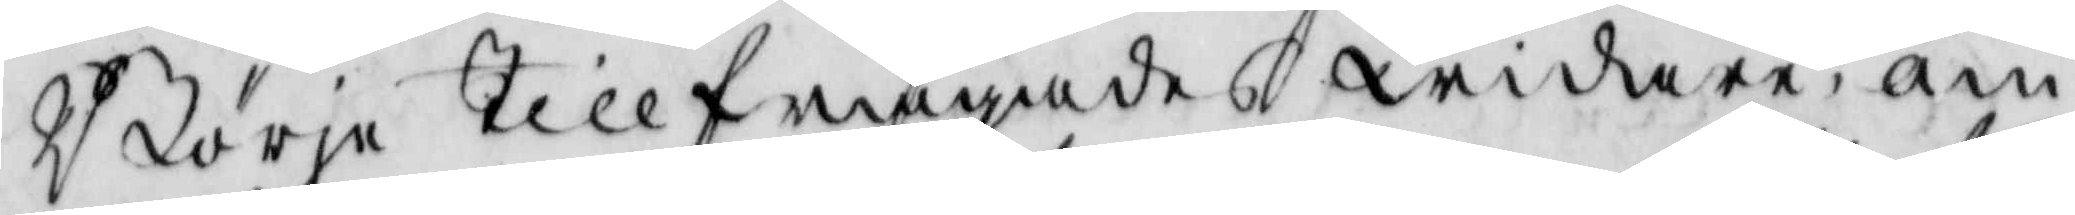Börje tillfrågades widare om
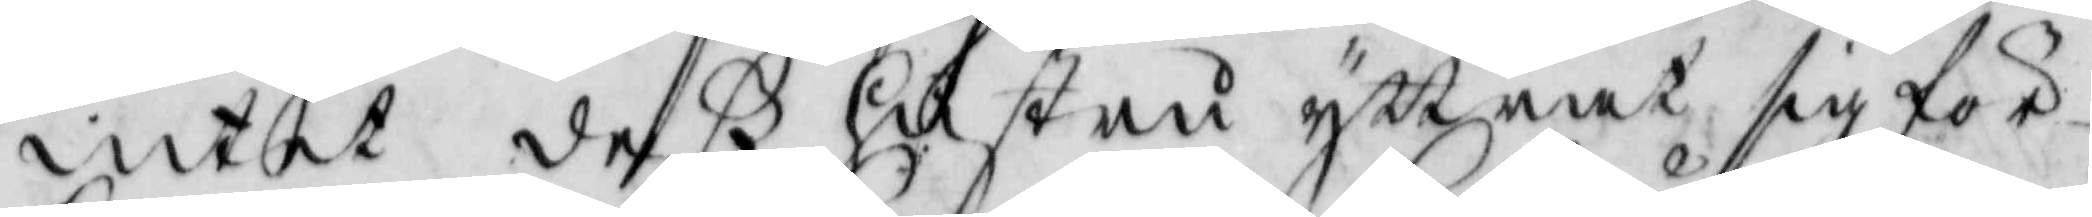intet deß hustru yttrat sig för
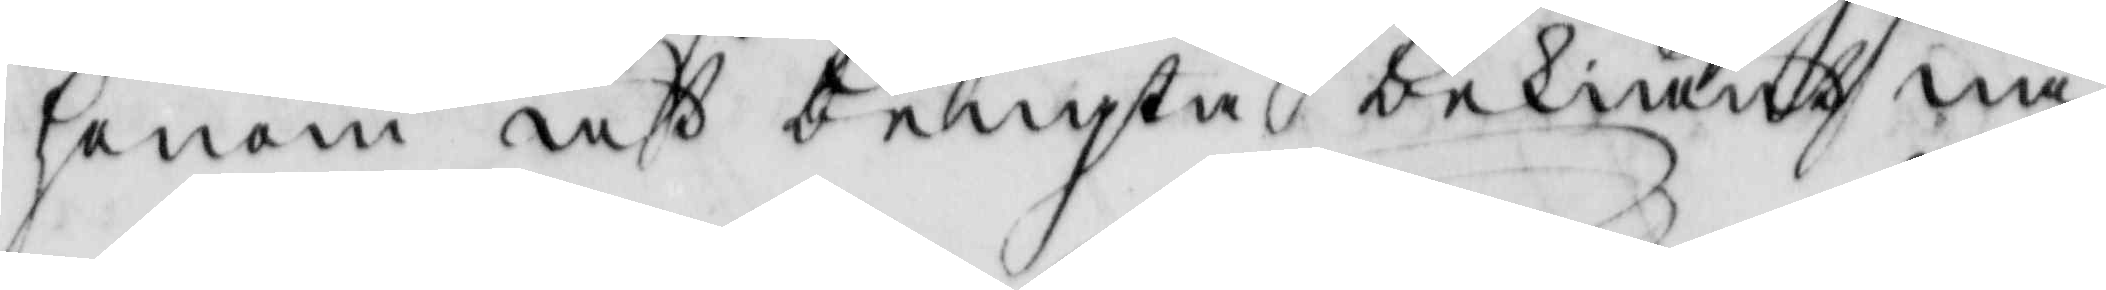honom att bengta bekiänt nå¬
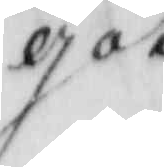got
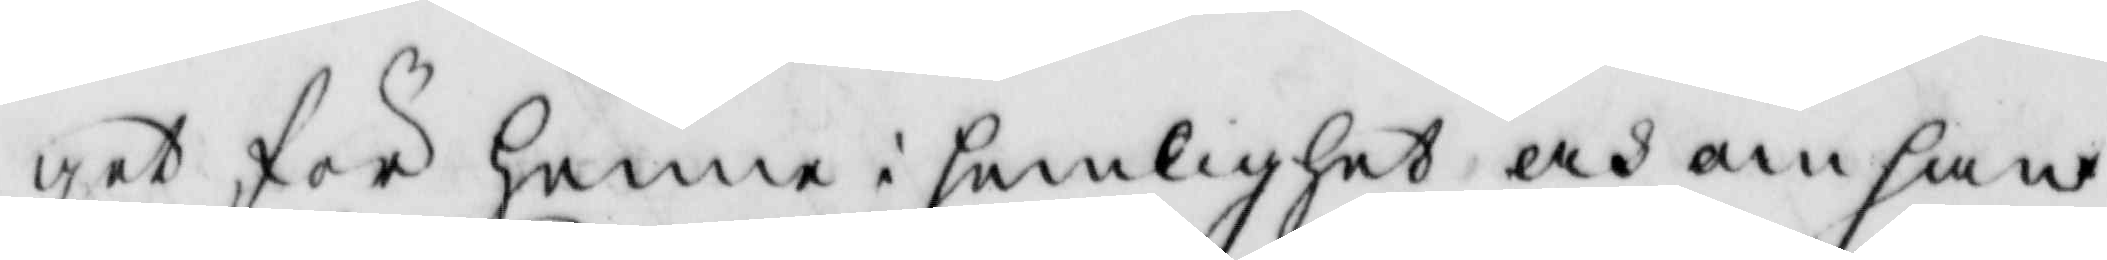get för henne i hemlighet och om han
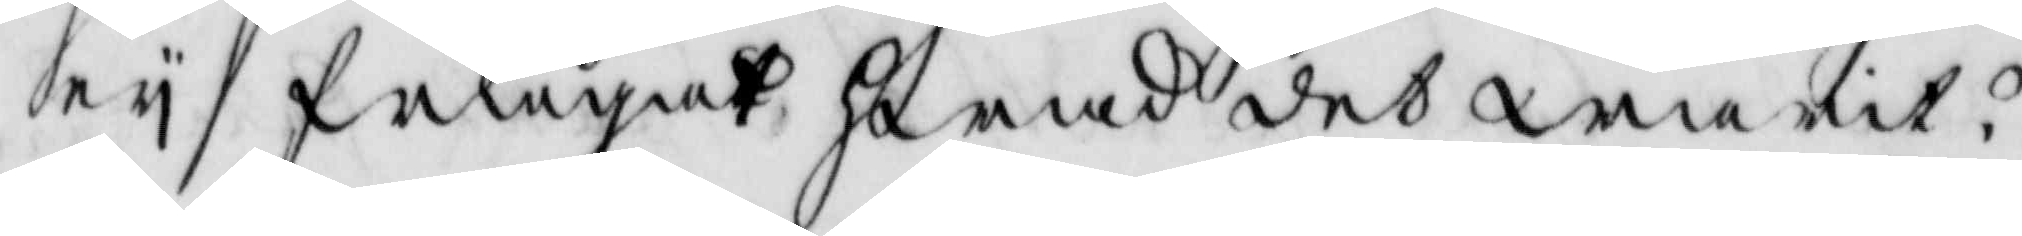ey frågat hwad det warit?
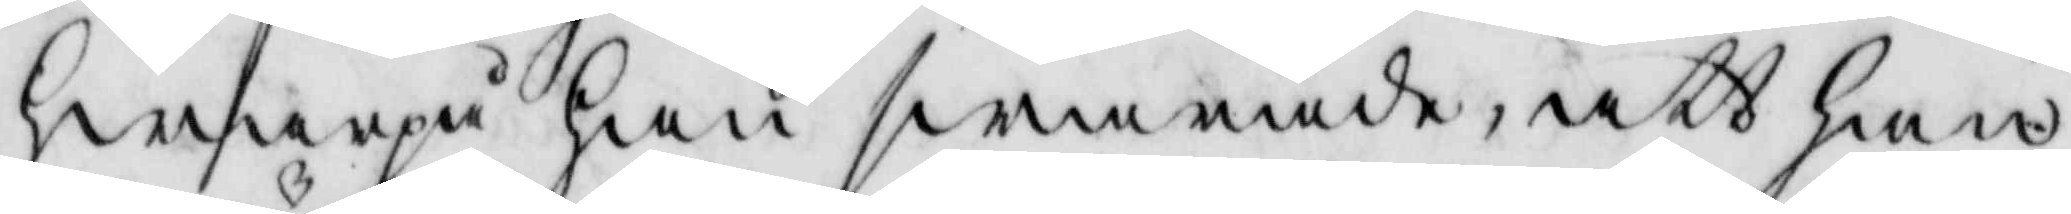hwarpå han swarade, att han
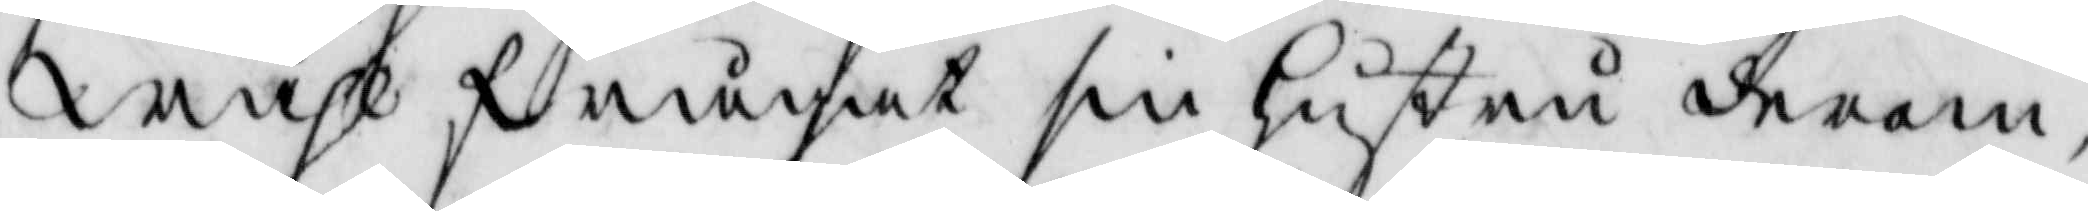wähl frågat sin hustru derom
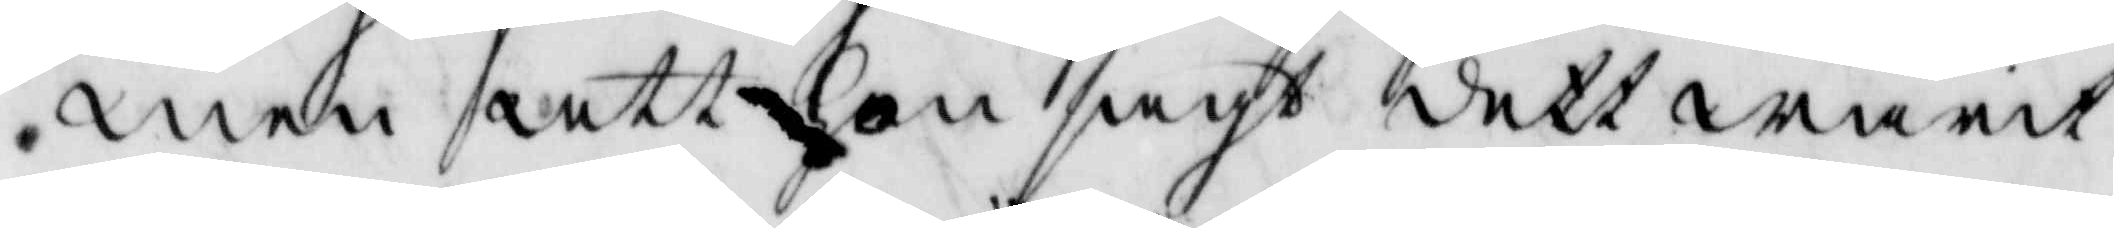men att hon sagt dett warit
